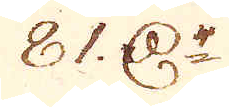81 D:r
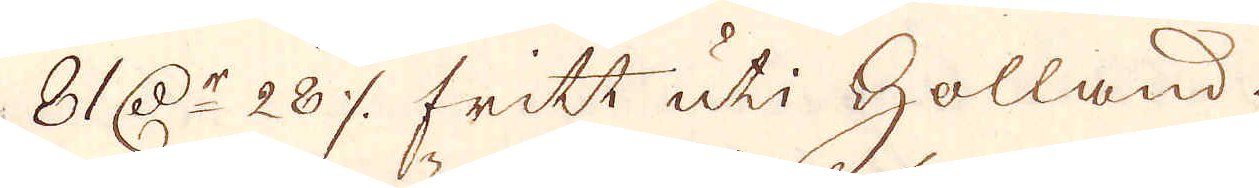81 D:r 28 öre fritt uti Holland.
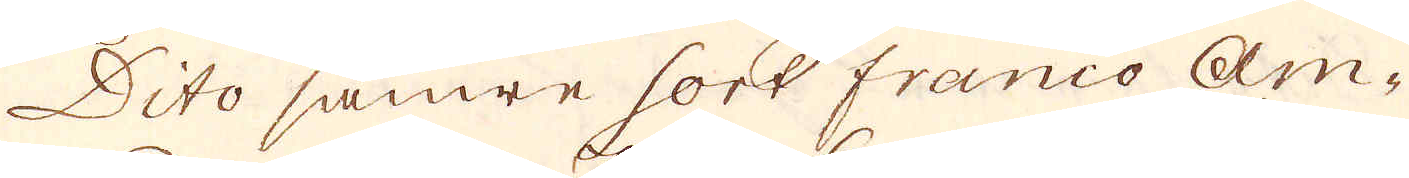Dito sämre sort franco Am-
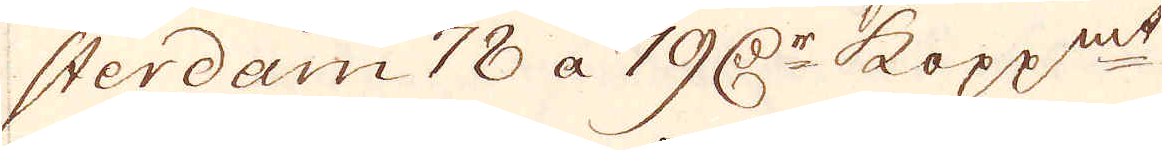sterdam 18 a 19 D:r kopp:mt.
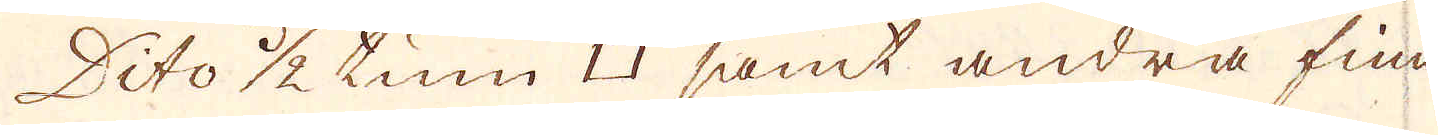Dito 1/2 tum □ samt andra fina
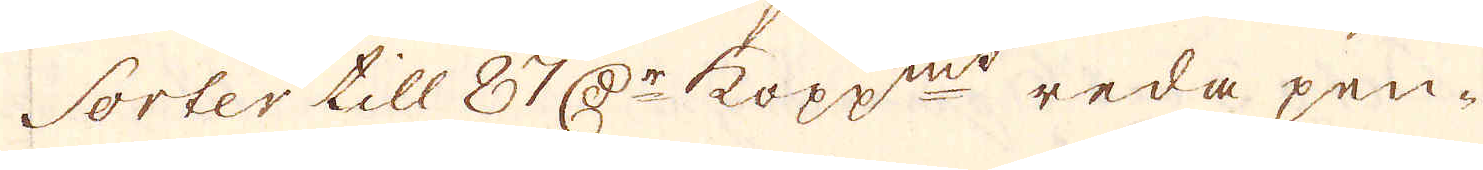Sorter till 87 D:r kopp:mt reda pen-
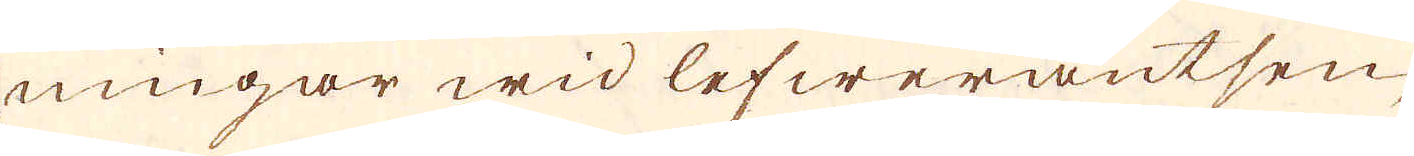ningar wid lefwerantsen,
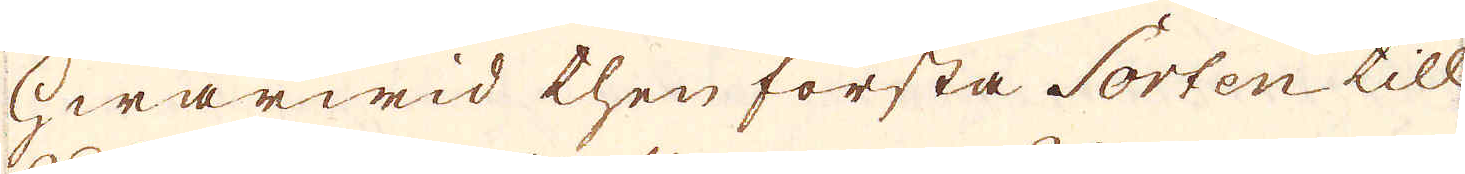hwarwid then första Sorten till
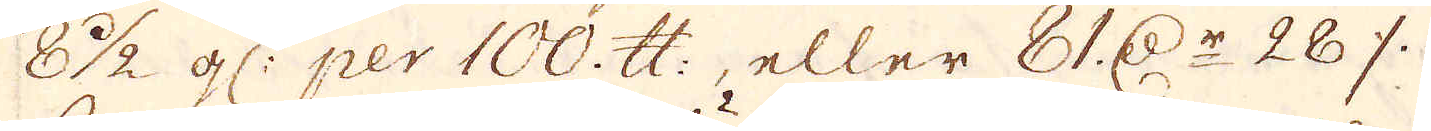8 1/2 gl: per 100. skålpund, eller 81. D:r 28 öre
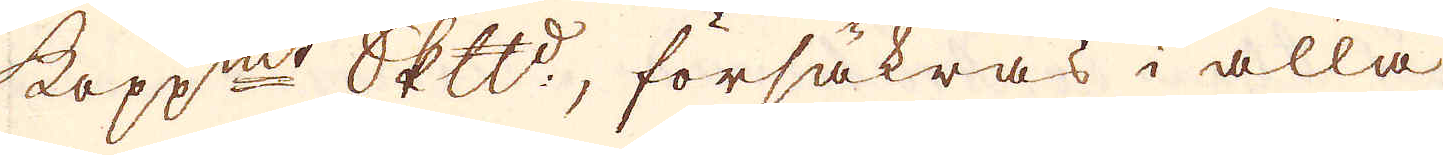kopp:mt Skeppund, försäkras i alla
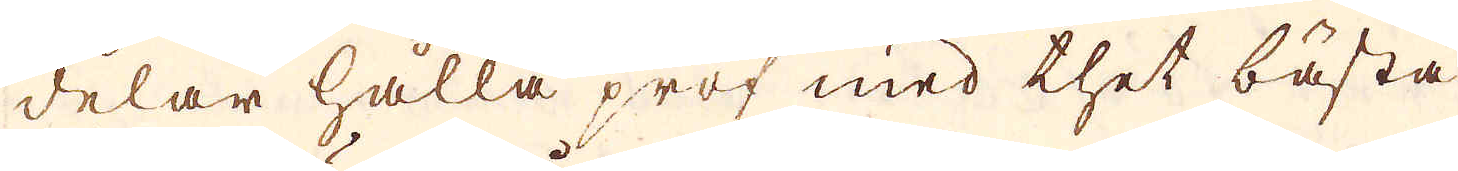delar hålla prof med thet bästa
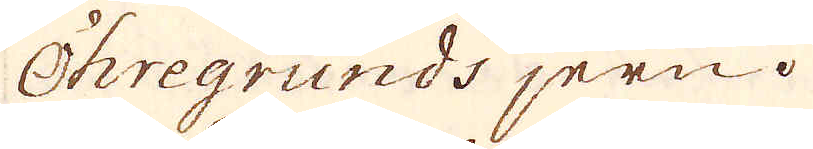Öhregrunds jern.
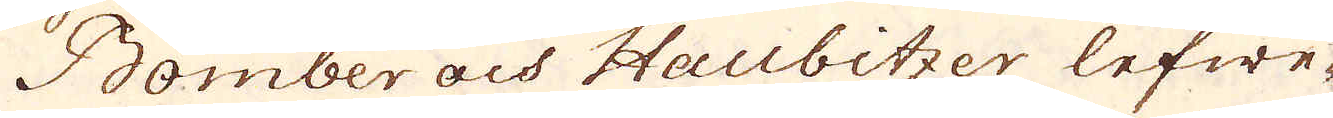Bomber och Haubitzer lefwe-
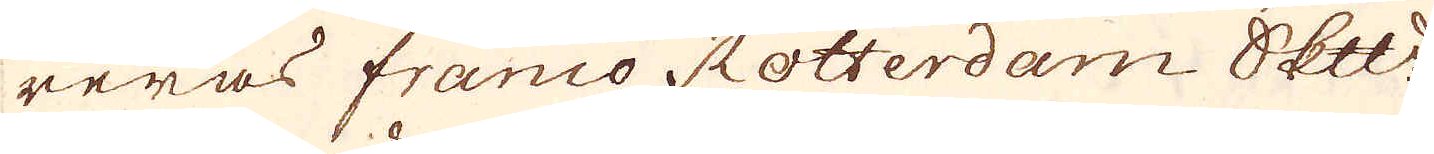reras franco Rotterdam Skeppund
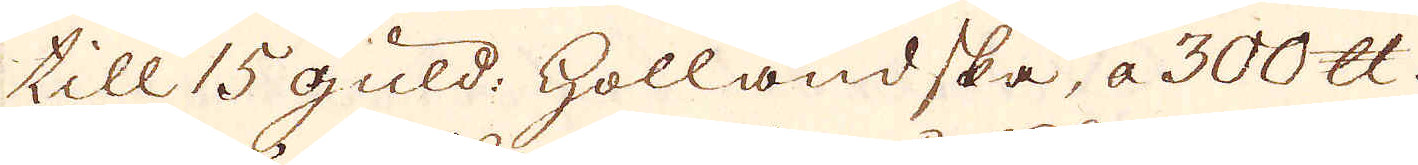till 15 guld: holländska, a 300 skålpund
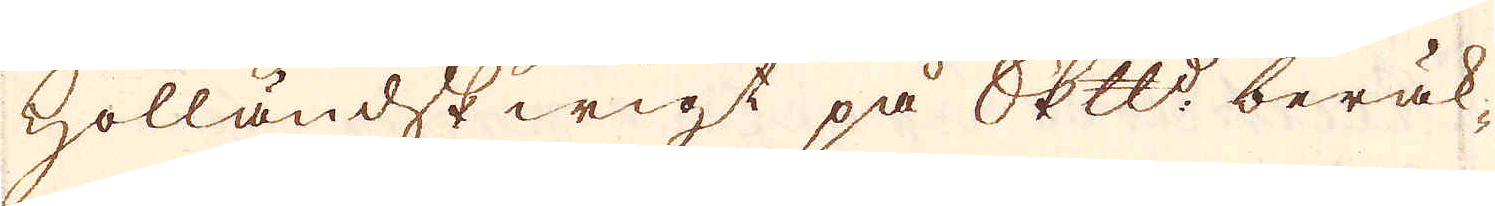Holländsk wigt på Skeppund beräk-
